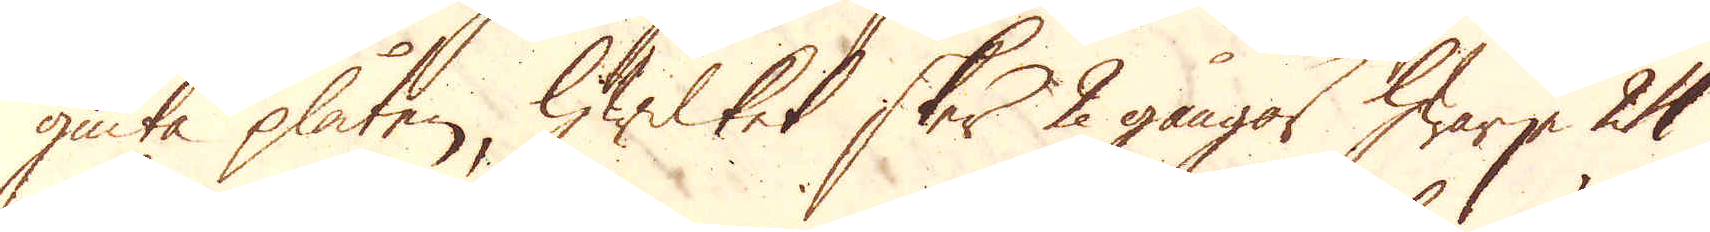giuta plåten, hwilket sker 2 gångor hwarje 24
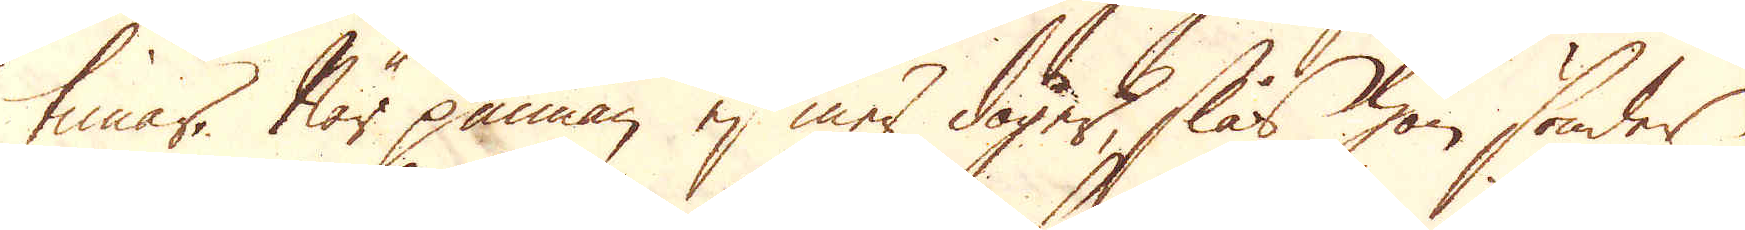timar. När pannan ej mer duger, slås han sönder
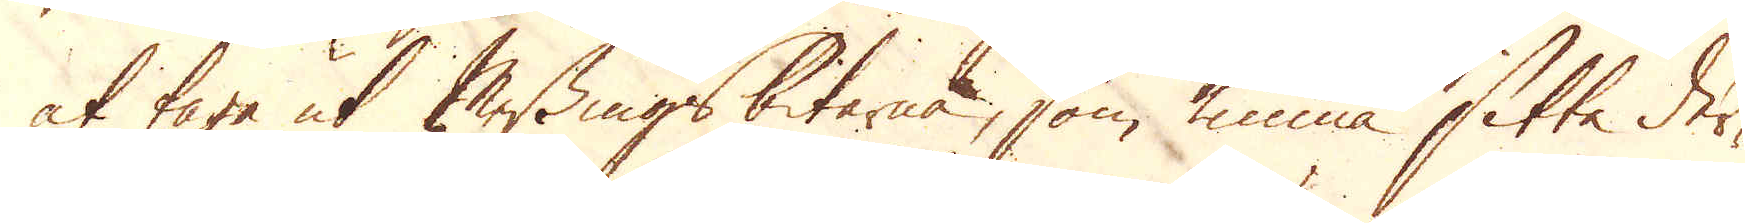at taga ut Messingsbitarna, som kunna sitta der-
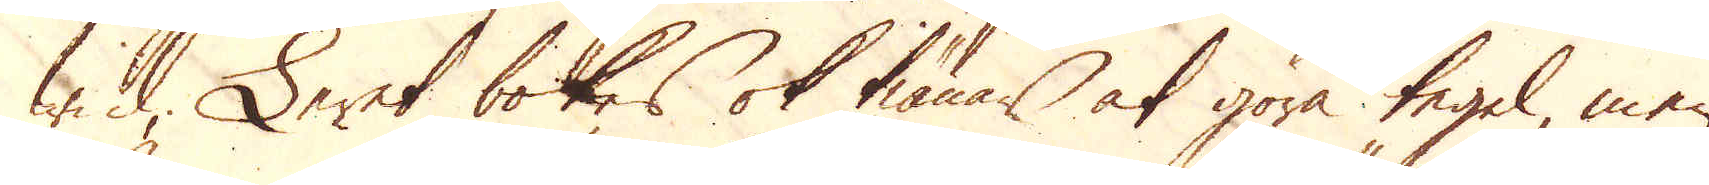wid, Leret bokes ok tiänar at göra tegel, men
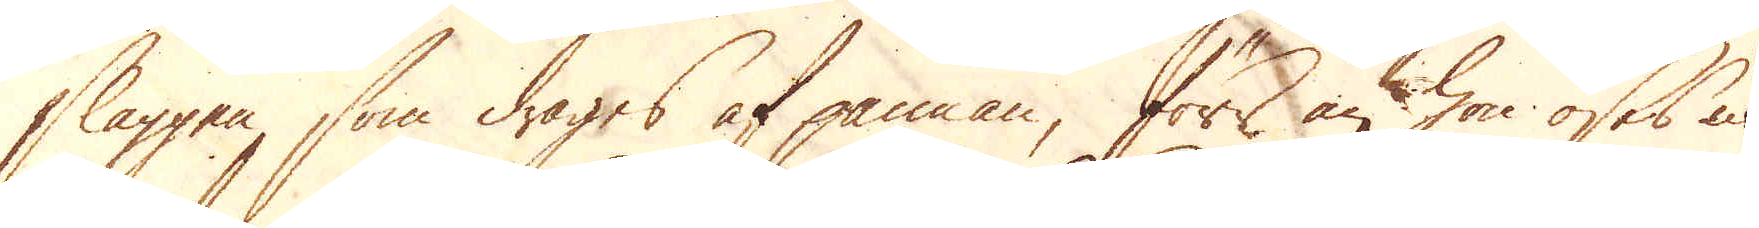slaggen, som drages af pannan, förr än hon öses i
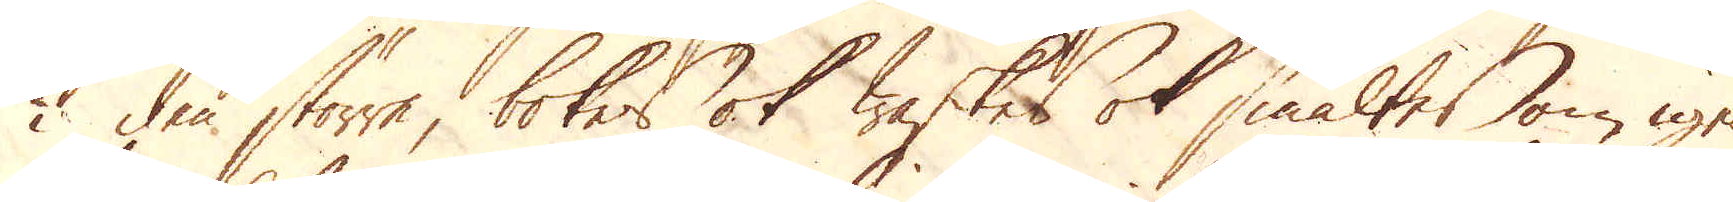i den större, bokes ok waskes ok smältes om igen.
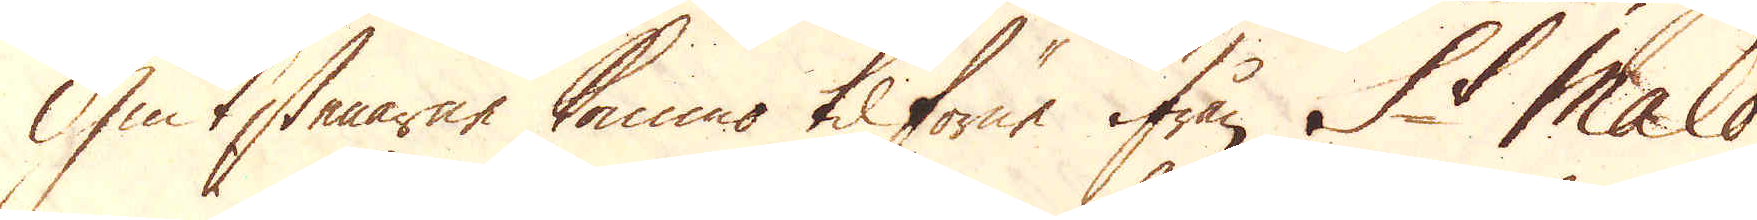Giuttstenarne kommo tilförne ifrån St Malo
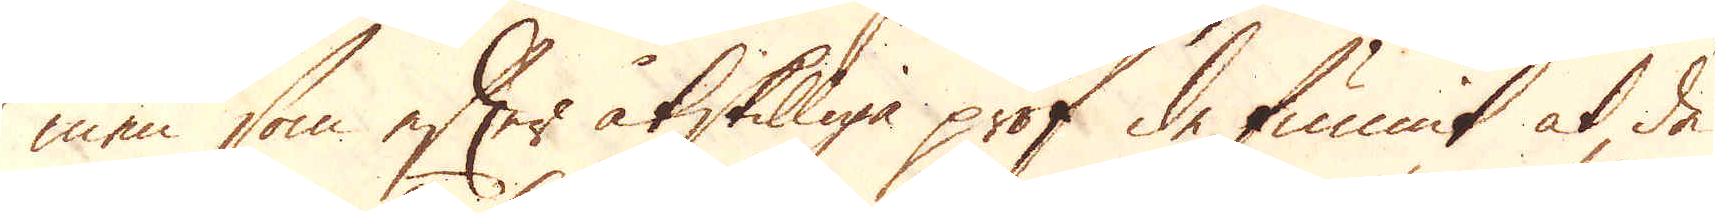men som efter åtskilliga prof de funnit at de
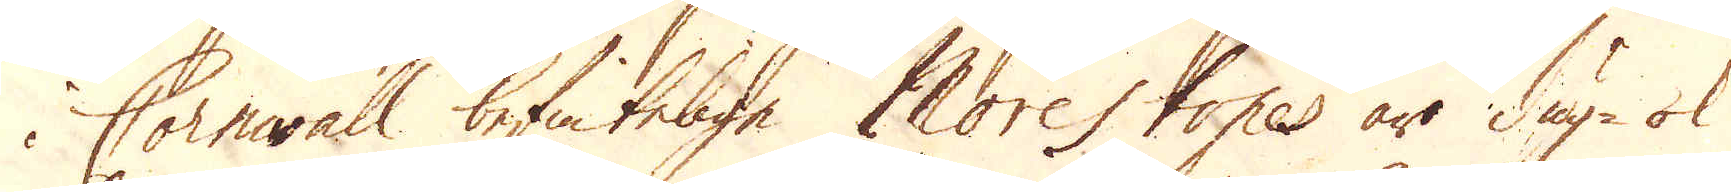i Cornwall befintelige Morestones äro dug- ok
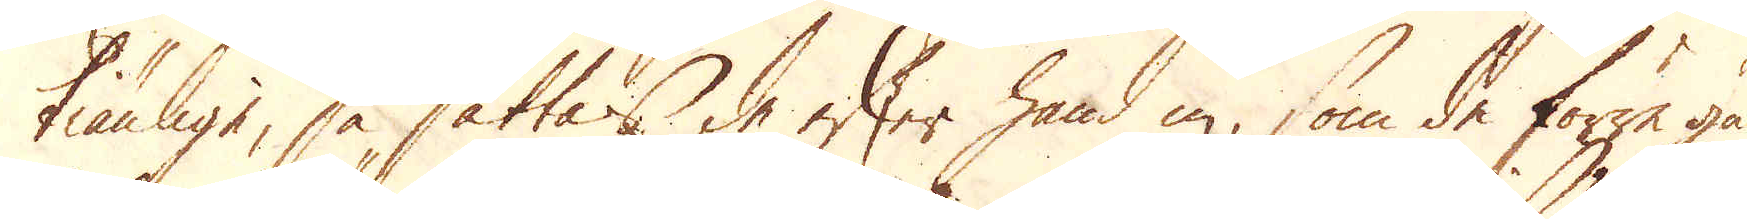tiänlige, så sättas de efter hand in, som de förre gå
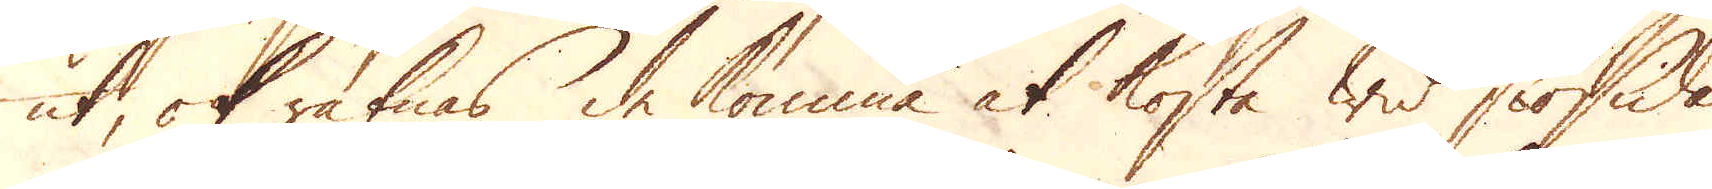ut, ok räknas de komma at kosta wid siösida
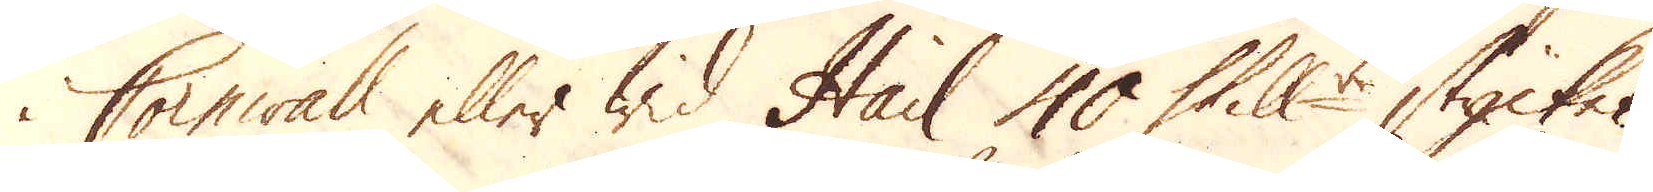i Cornwall eller wid Hail 40 Skill:r stycket.
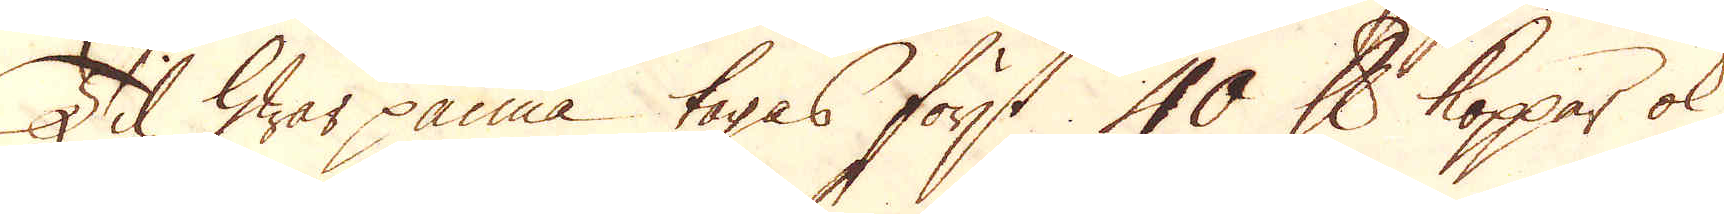Til hwar panna tagas först 40 skålpund koppar ok
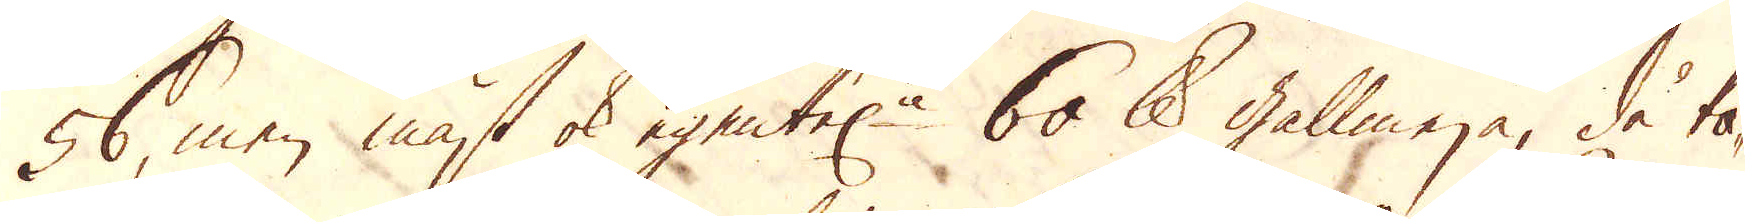56, men mäst ok egentel:n 60 skålpund gallmeja, då ta-
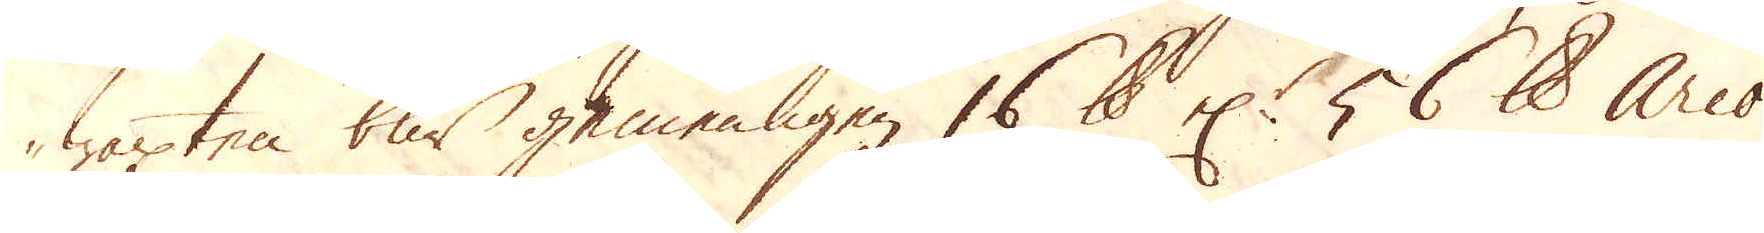waxten blir gemenligen 16 skålpund el:r 56 skålpund Arco
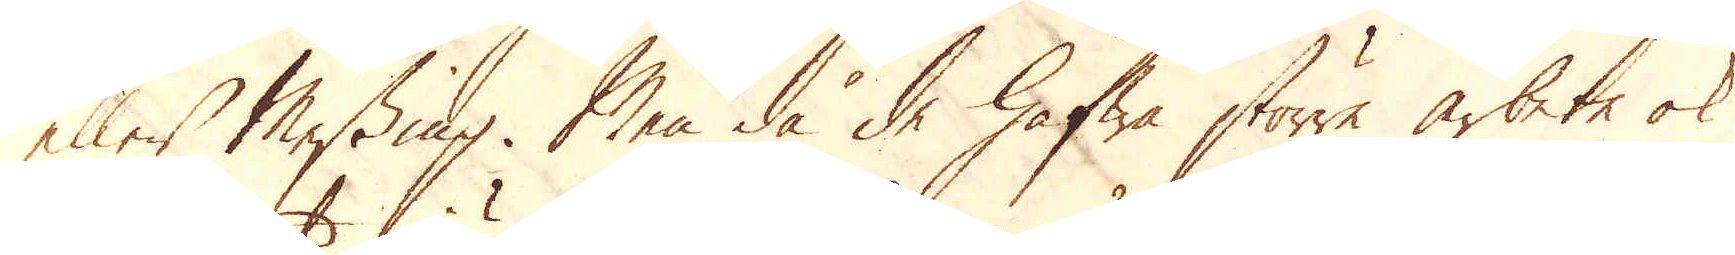eller Messing. Men då de hafwa större arbete ok
